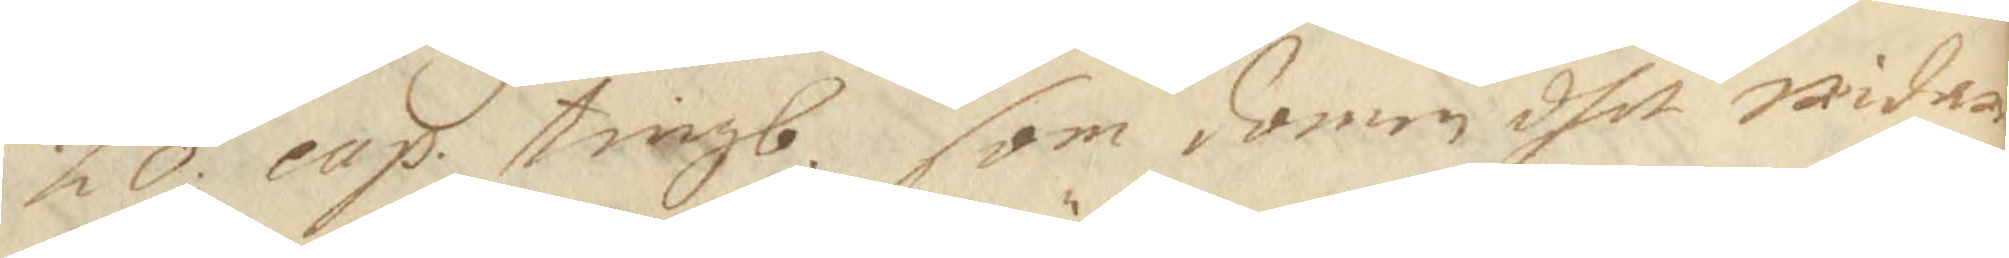20 cap. tingb. som domen dhet widare 
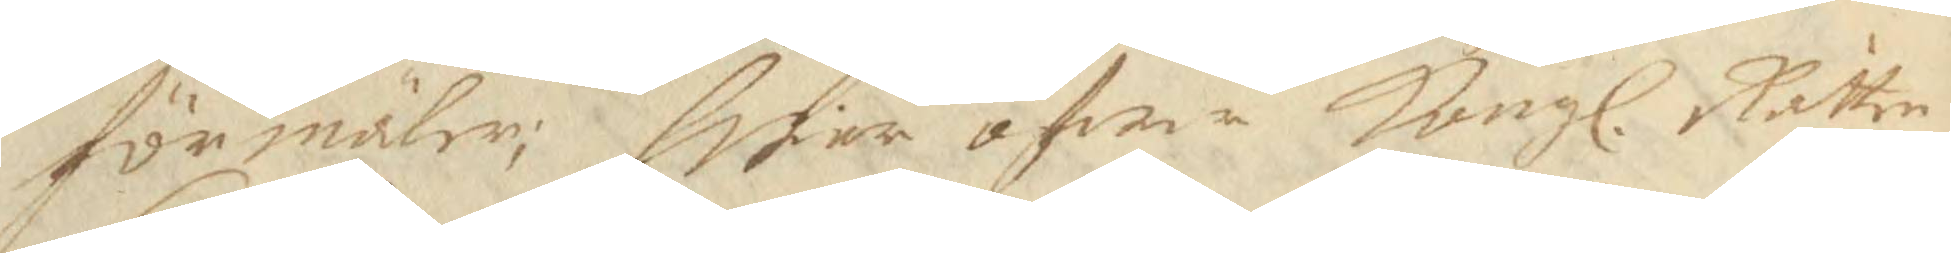förmäler; Hwar öfwer Kongl. Rätten 
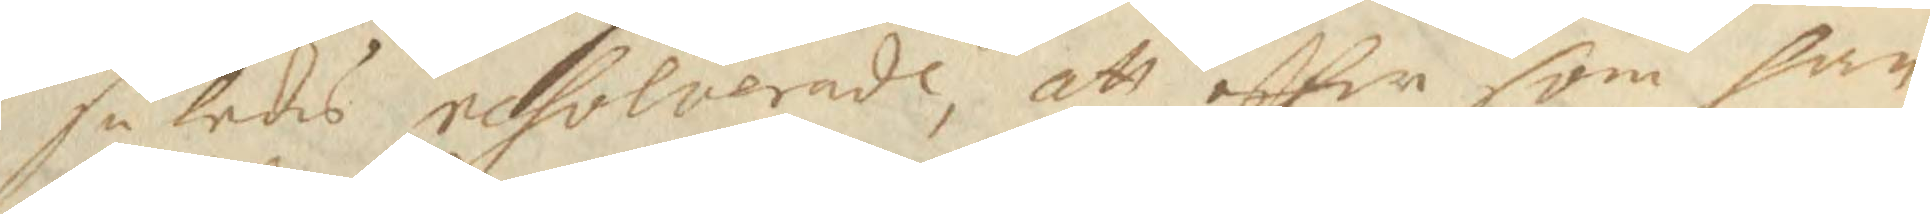således resolverade, att eftter som han
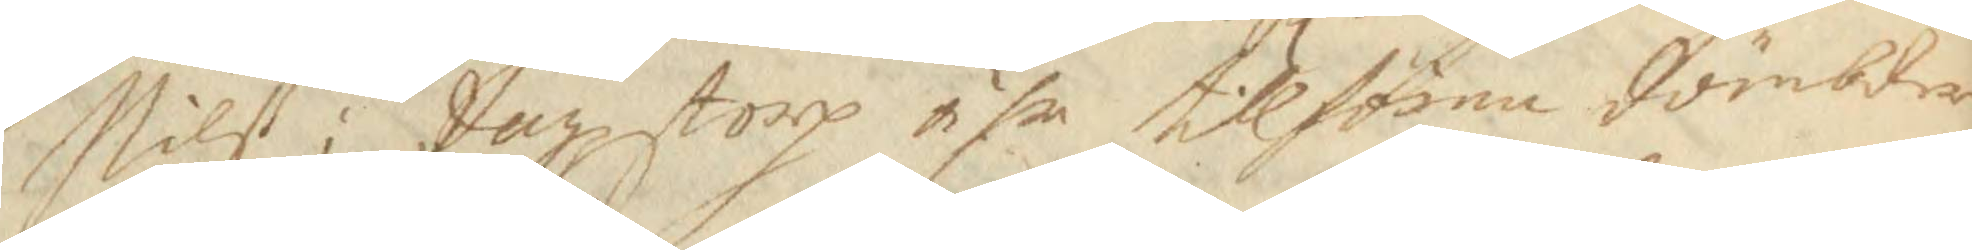Nilß i dagzstorp ähr tillfören dömbder
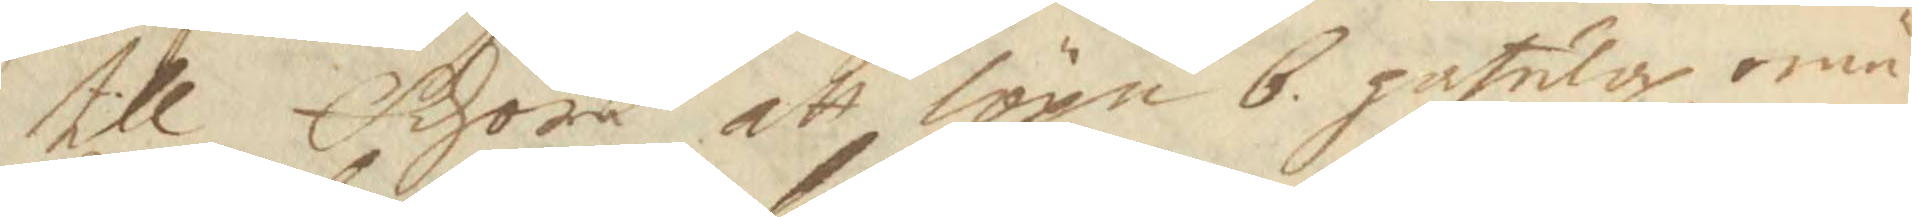till Edhöre att löpa 6 gatulop emä¬
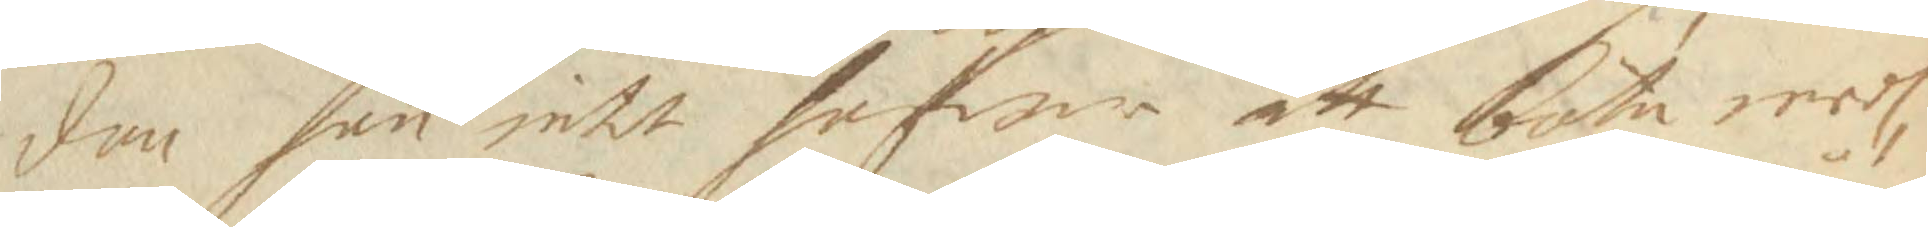dan han intet hafwer att bota medh,
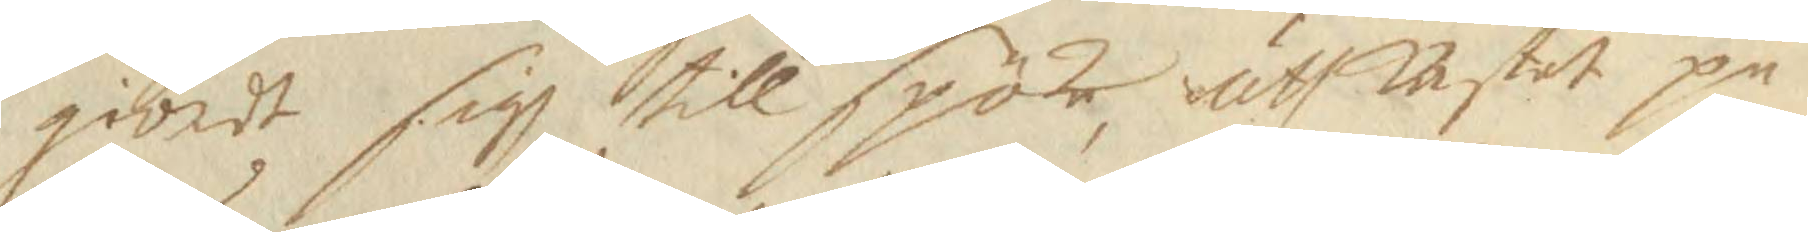giordt sigh till spöke, uthkastet på
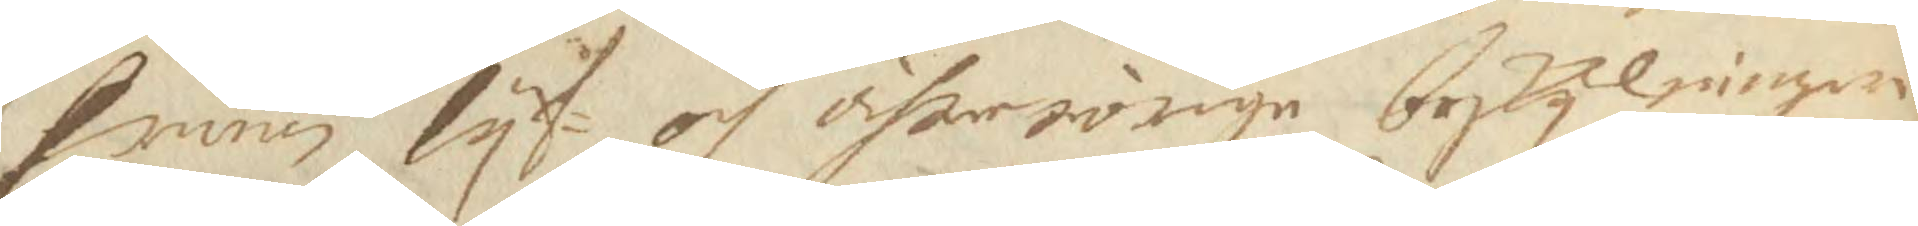frum lyf- och ährerörige beskylningar
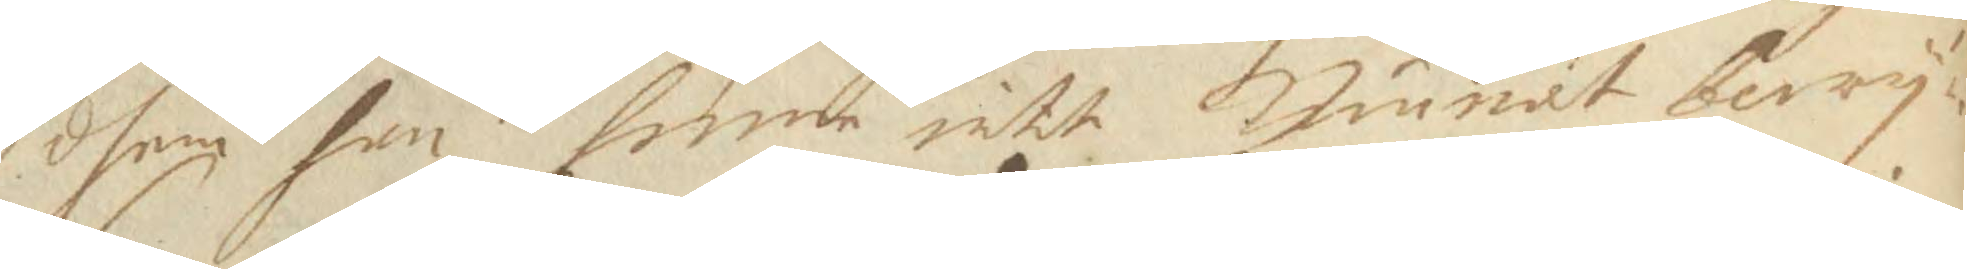dhem han henne intt Kunnat bewy¬
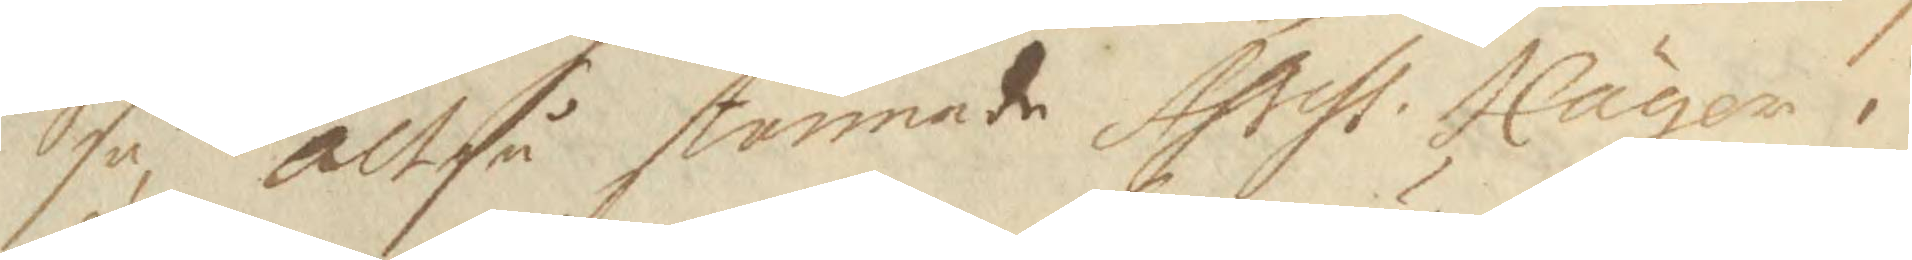sa, altså stannade Assess: Häger i 
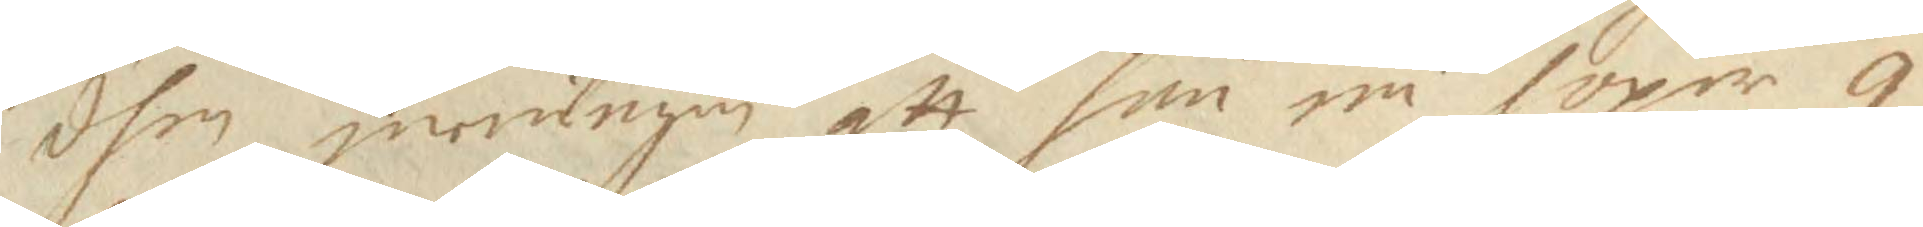dhen meningen att han nu löper 9
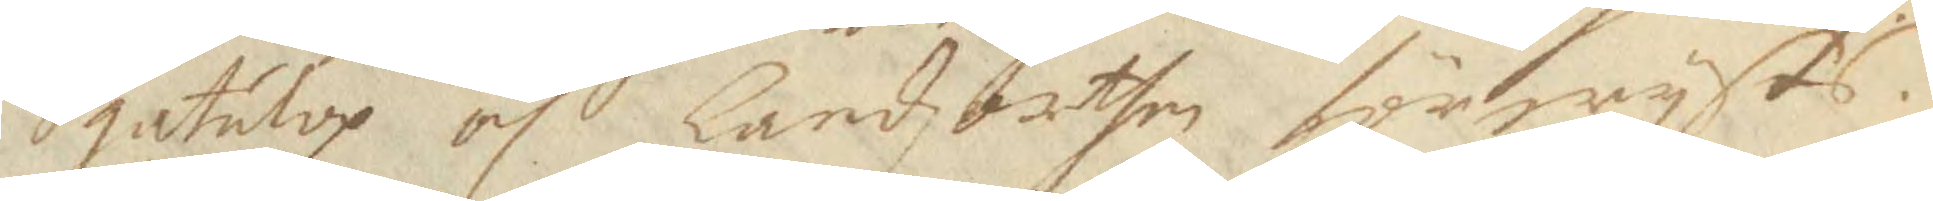gatulop och Landzorthen förwyses.
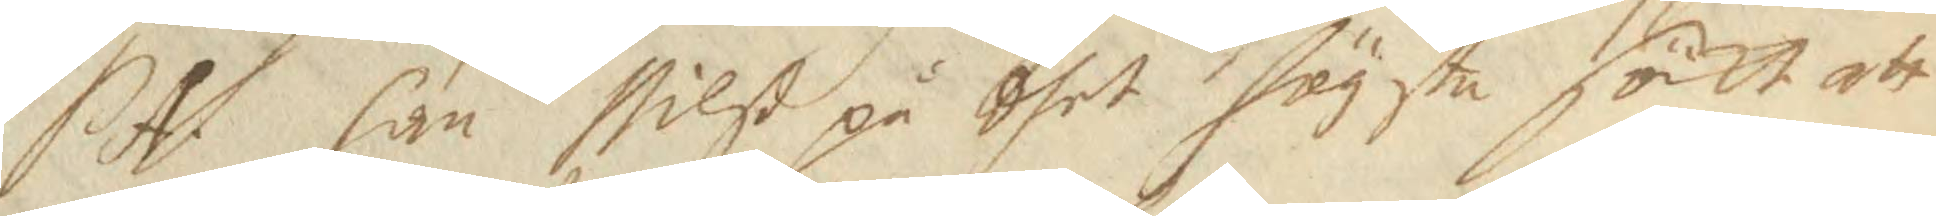SA han Nilß på dhet högsta sökt att 
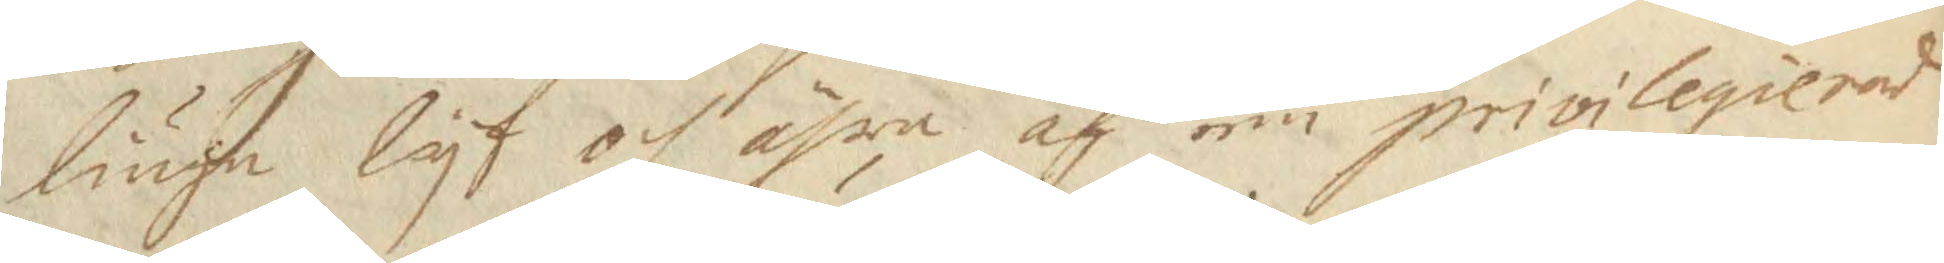liuga lyf och ähra af een privileqierad
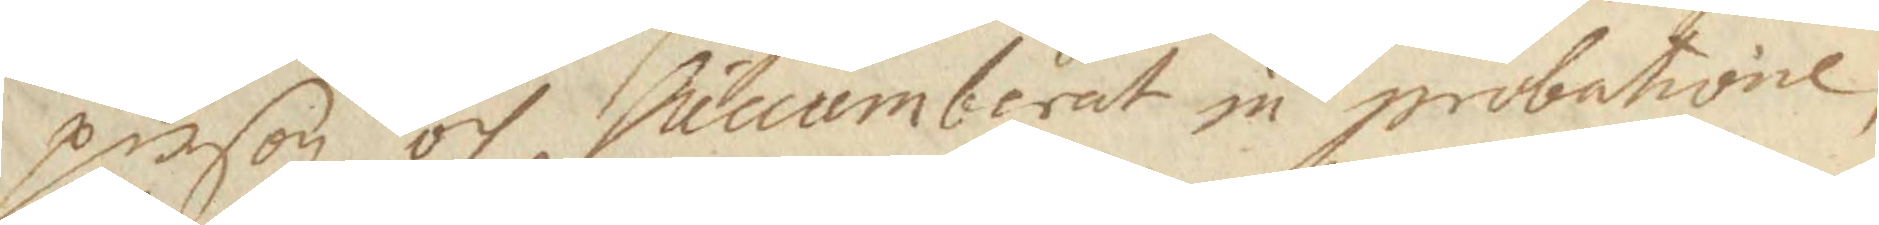person och Sucumberat in probatione,
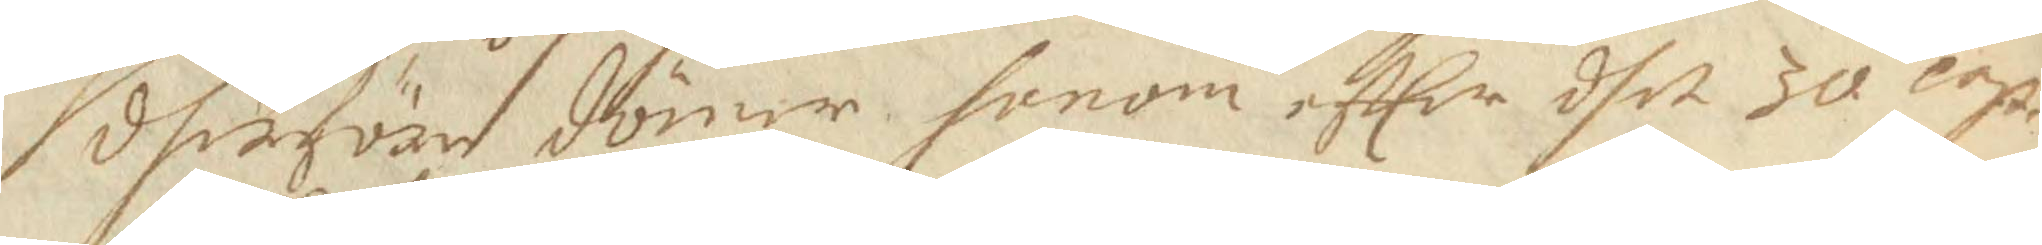dherföre dömer honom effter dhet 30 cap.
